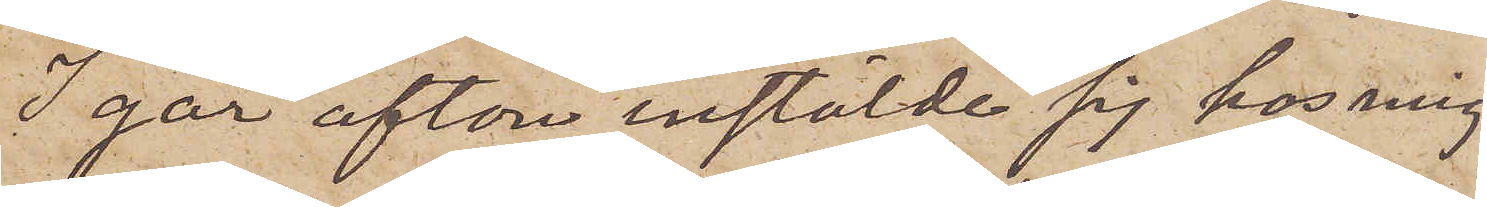I går afton instälde sig hos mig
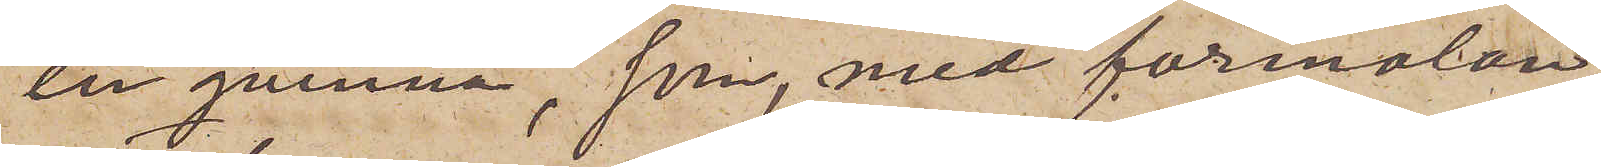en qvinna, som, med förmälan,
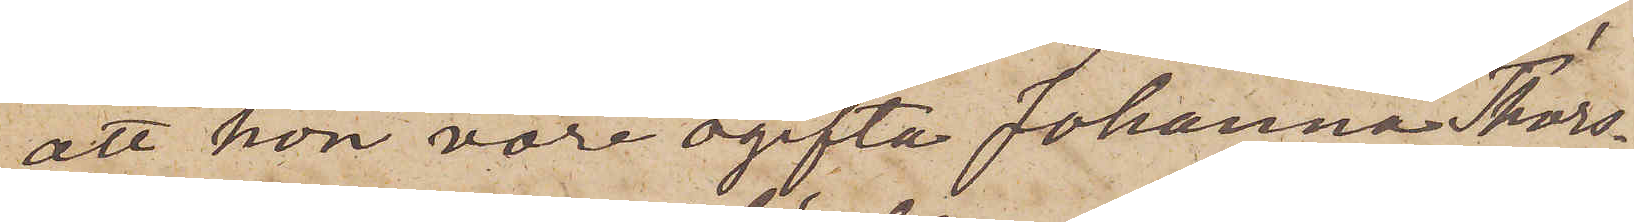att hon vore ogifta Johanna Thors¬
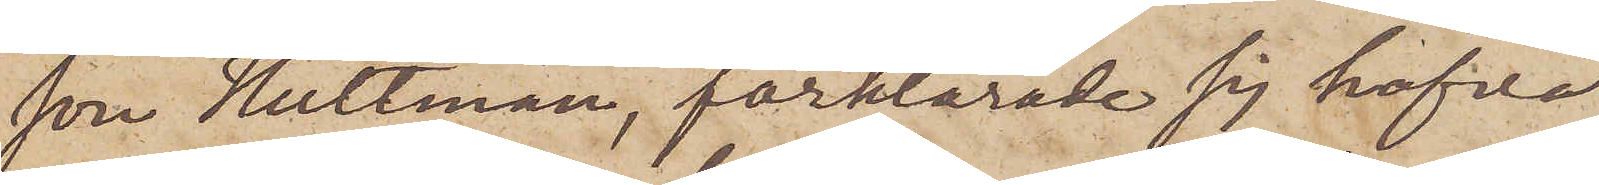son Hultman, förklarade sig hafva
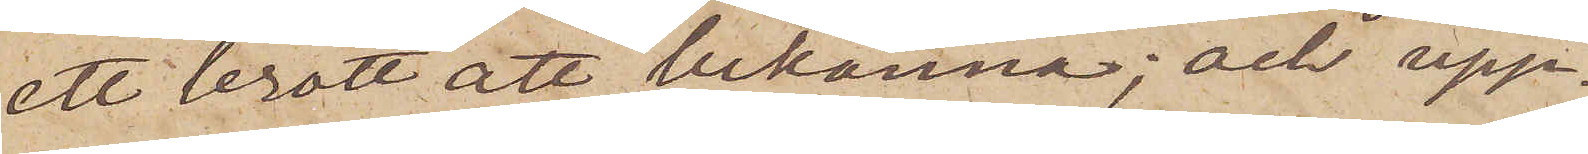ett brott att bekänna; och upp¬
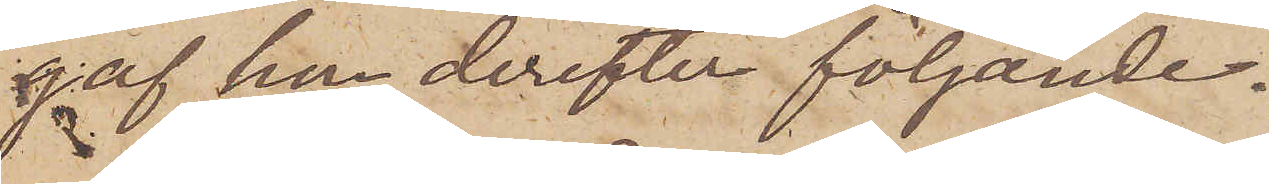gaf hon derefter följande.
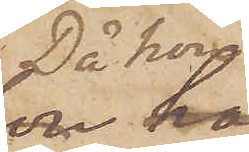 Då hon
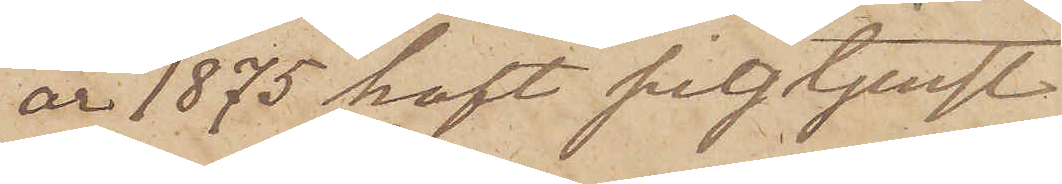år 1875 haft pigtjenst
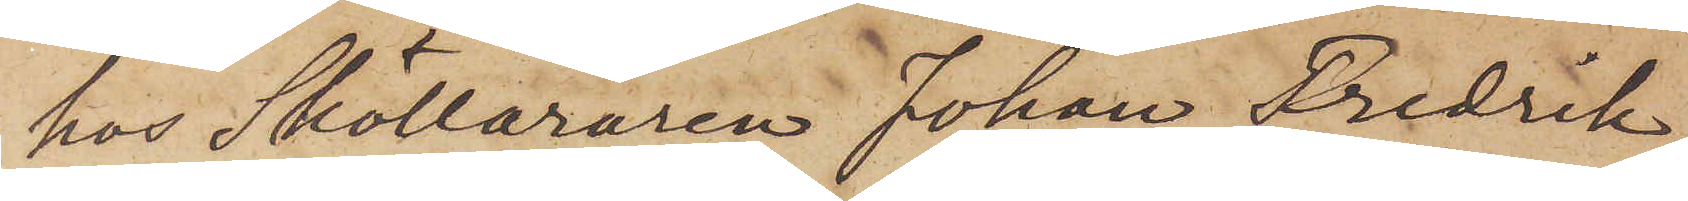hos Skolläraren Johan Fredrik
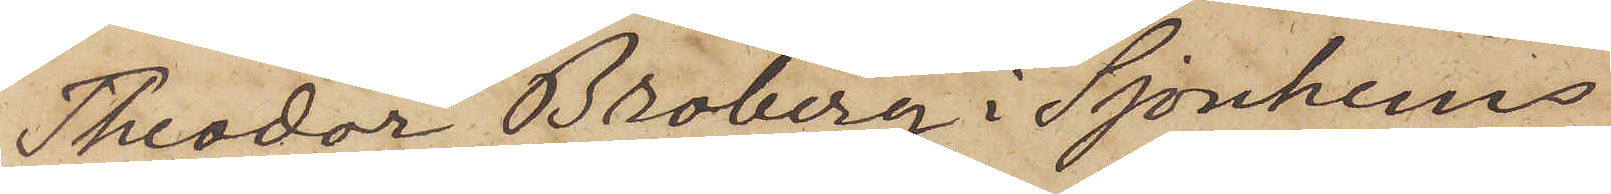Theodor Broberg i Sjonhems
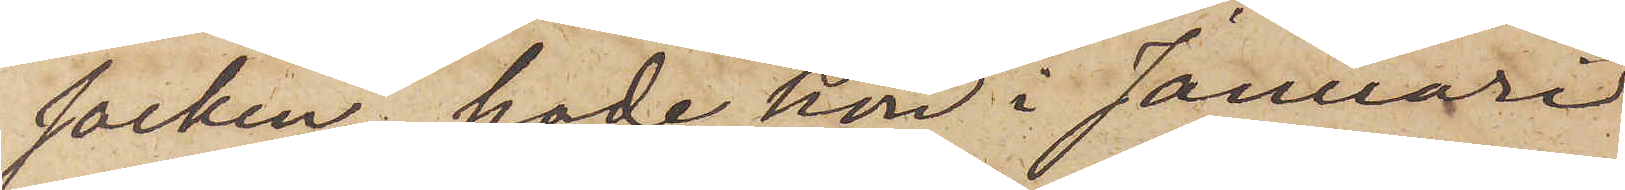socken, hade hon i Januari
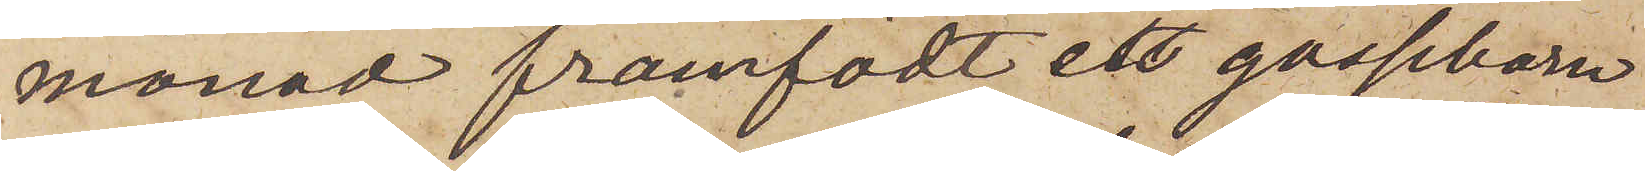månad framfödt ett gossebarn
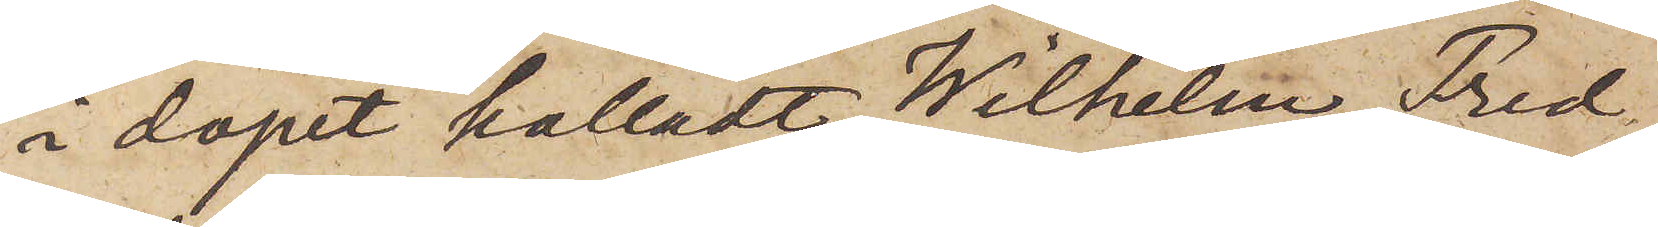i dopet kalladt Wilhelm Fred¬
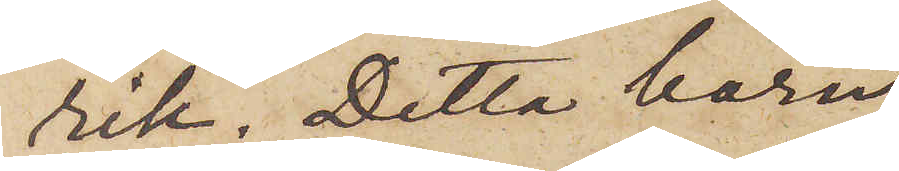rik. Detta barn
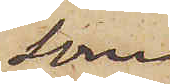som
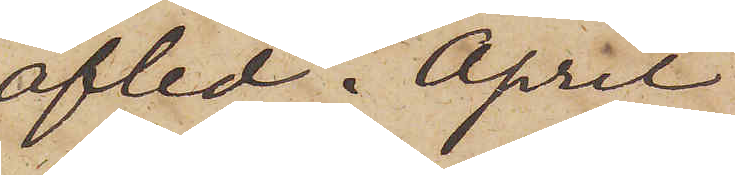afled i April
